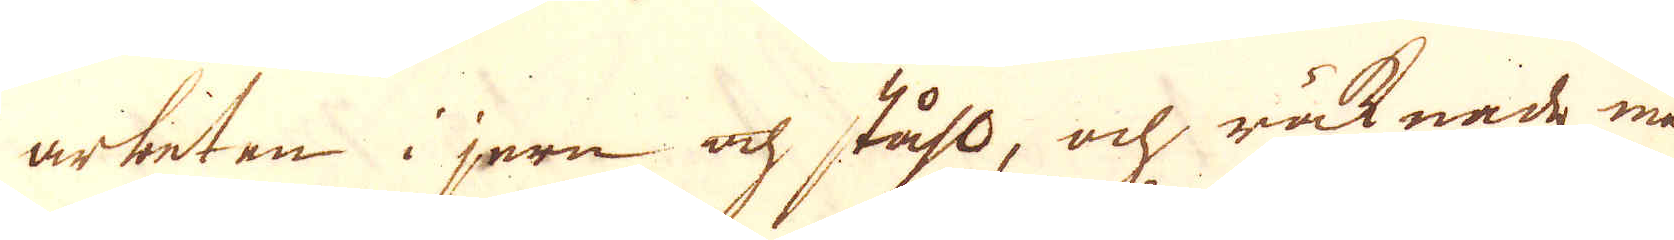arbeten i jern och ståhl, och räknade man
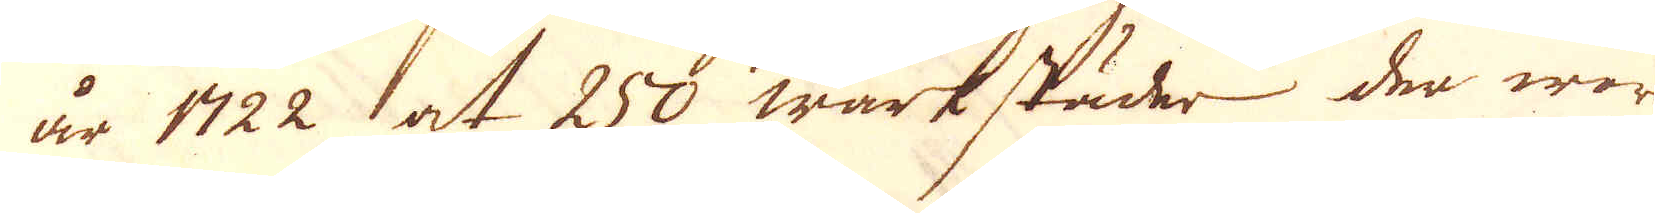år 1722 at 258 wärkstäder der war
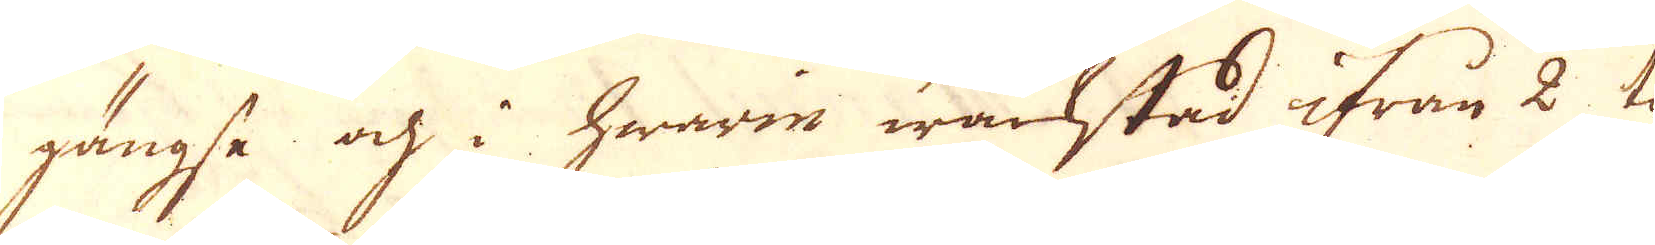gängse och i hwarie wäckstad ifrån 2 til
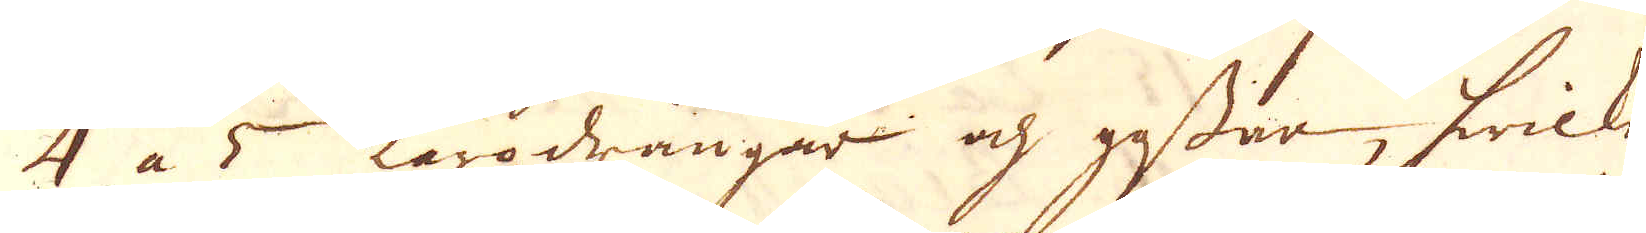4 a 5 Lärodrängar och gossar, hwilke
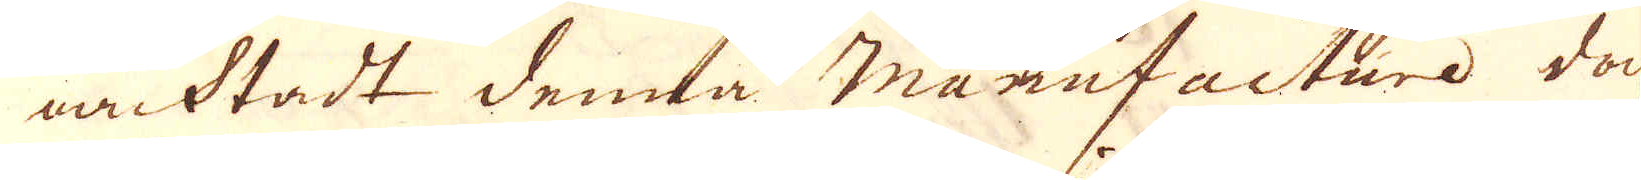oacktadt denna manufacture doch
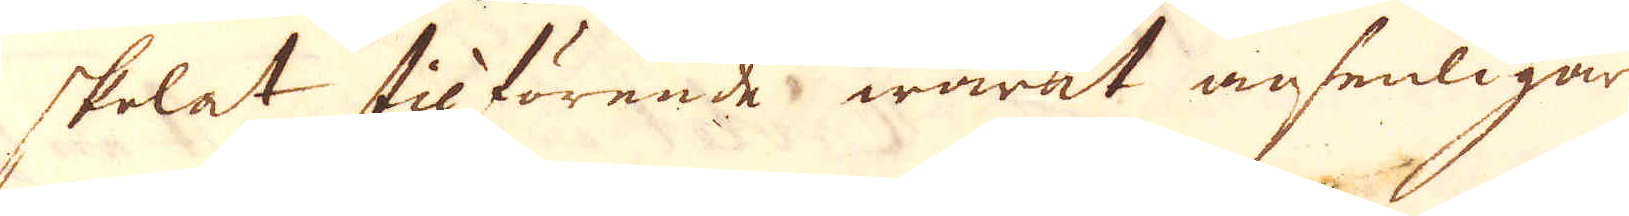skolat tilförende warit ansenligare
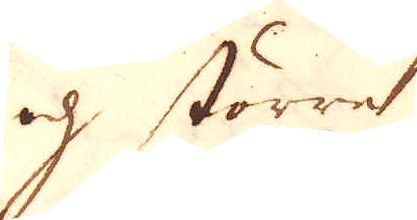och större.
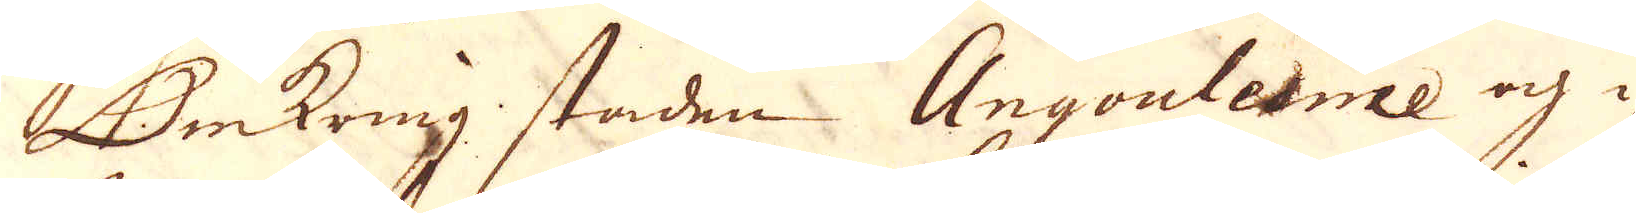Omkring staden Angouleme och i
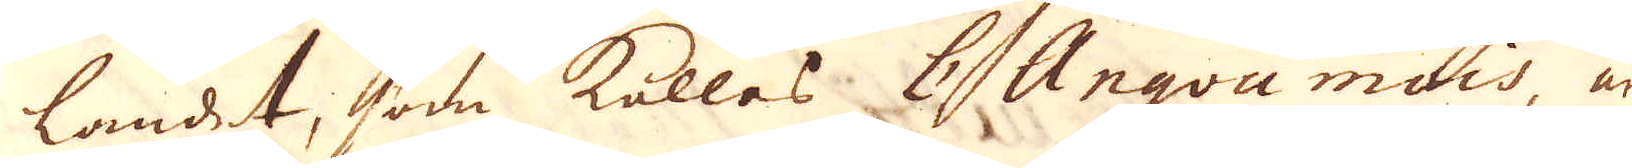landet, som kallas l'Angou mois, är
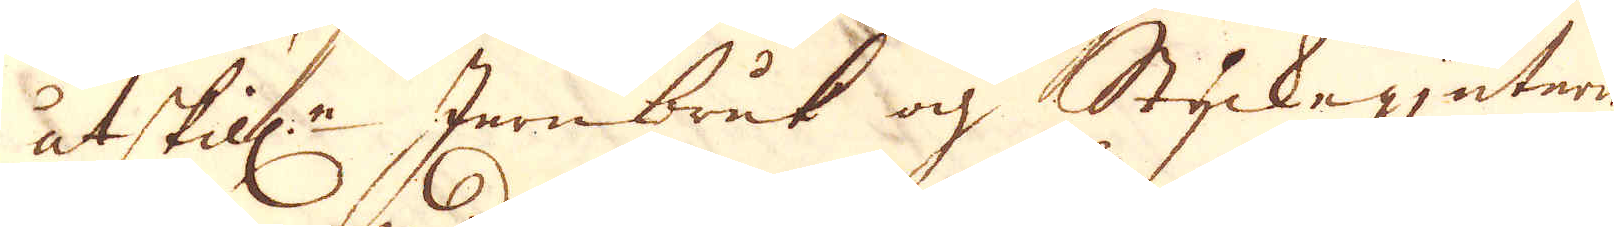åtskill:e Jernbruk och Styckegjuterier
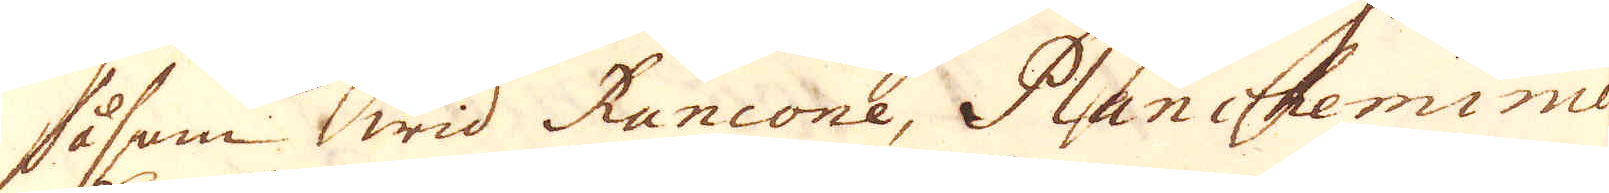såsom wid Rancone, Plancheminie
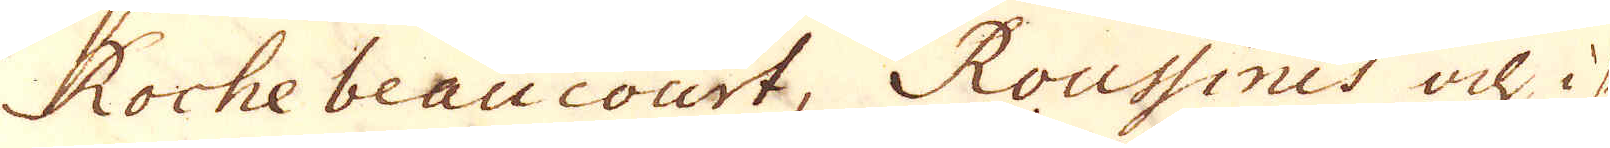Rochebeaucourt, Roussines och isy-
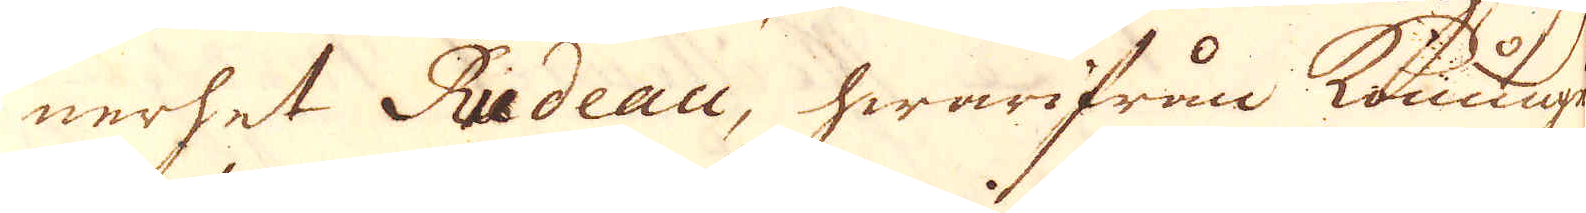nerhet Rudeau, hwarifrån konungens
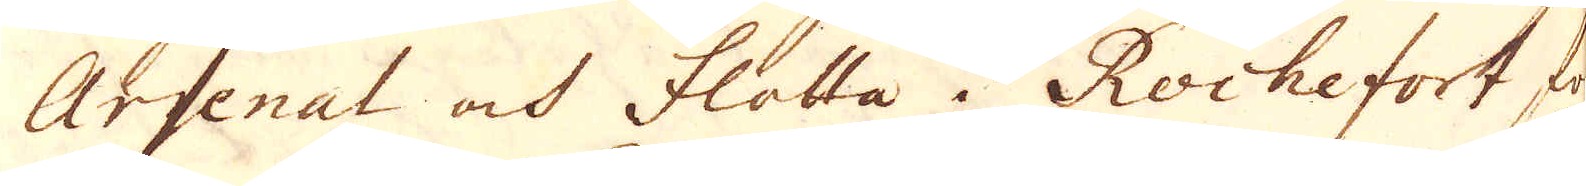Arsenal och flotta i Rochefort för-
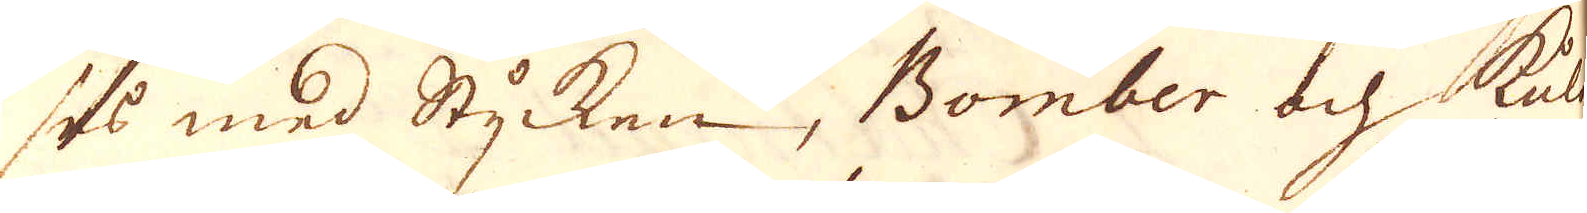ses med Stycken, Bomber och kulor
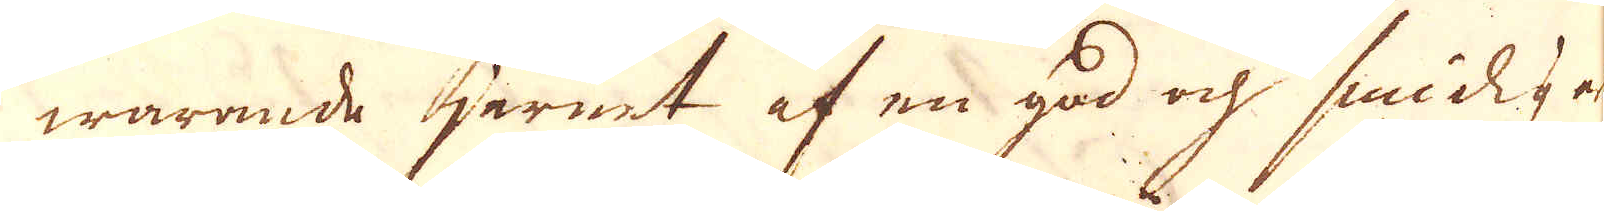warande jernet af en god och smidja
